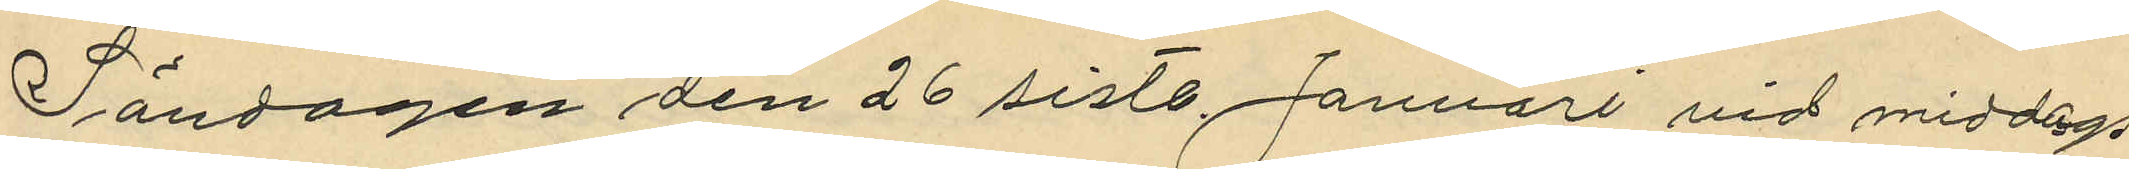Söndagen den 26 sistl. Januari vid middags¬
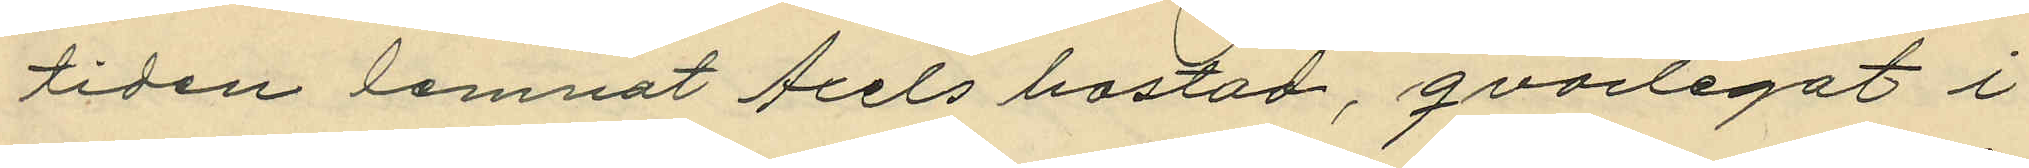tiden lemnat Axels bostad, qvarlegat i
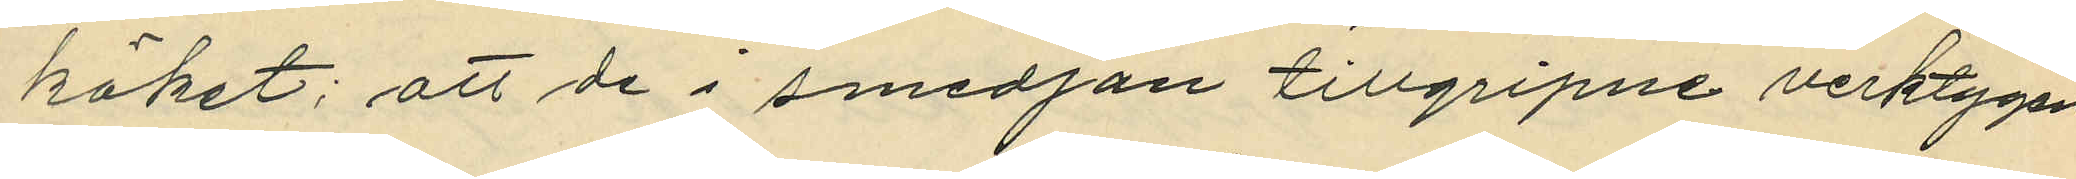köket; att de i smedjan tillgripne verktygen
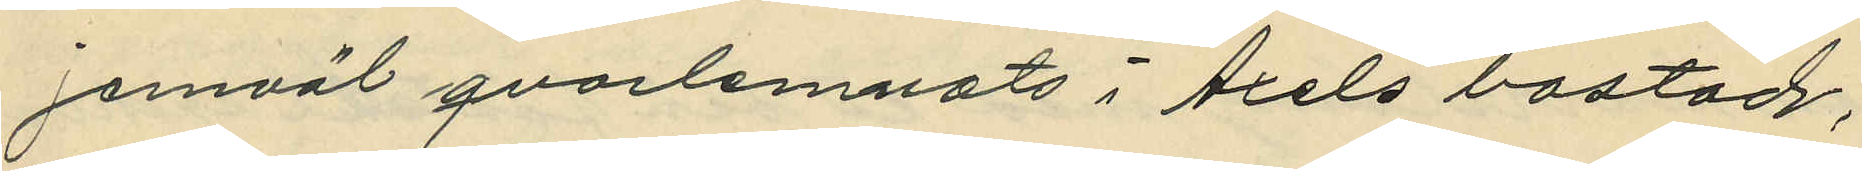jemväl qvartlemnats i Axels bostad;
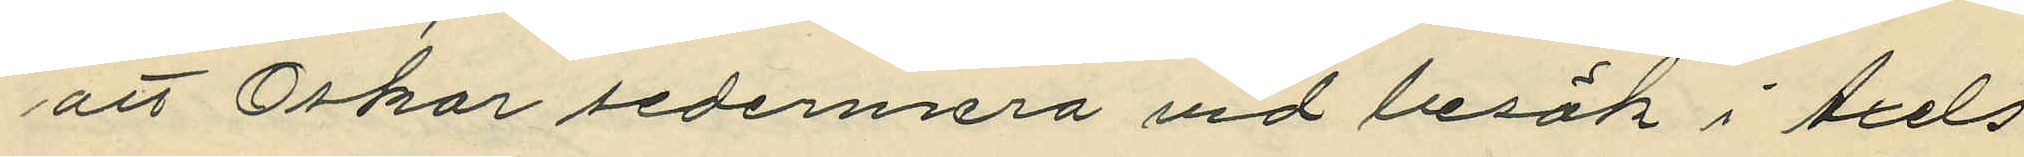att Oskar sedemera vid besök i Axels
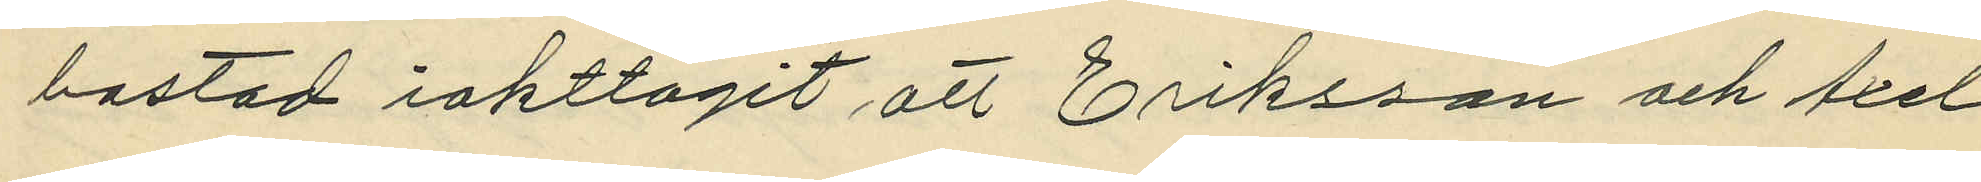bostad iakttagit, att Eriksson och Axel
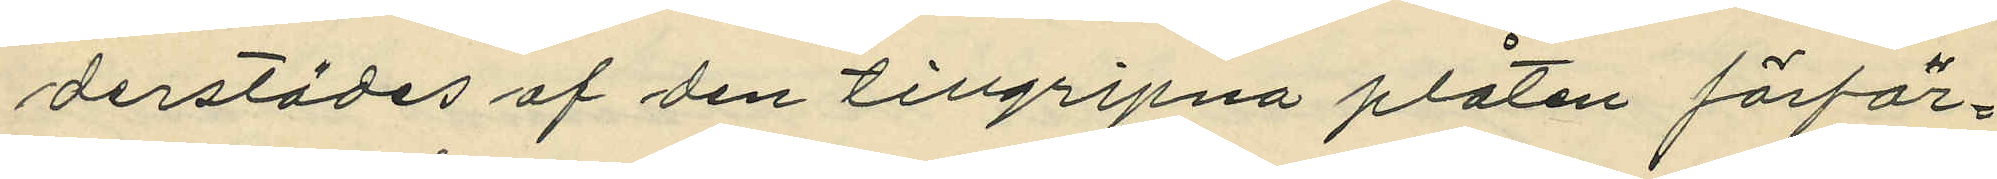derstädes af den tillgripna plåten förfär¬
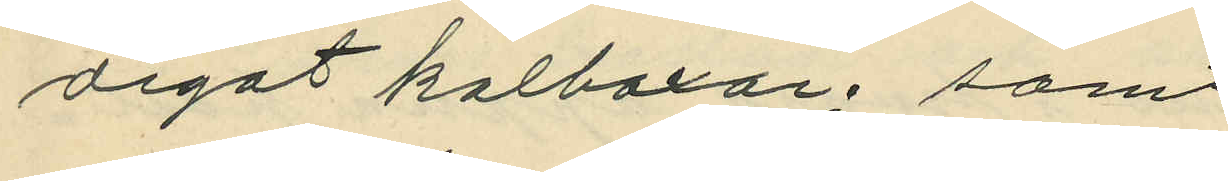digatkolboxar; samt
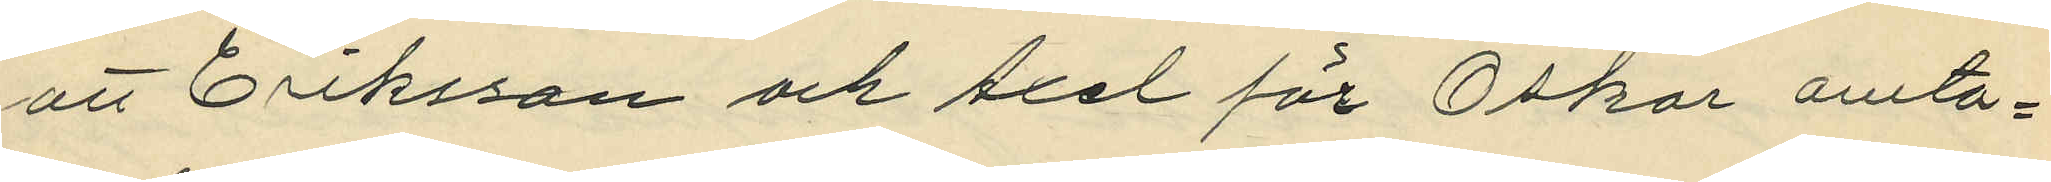att Eriksson och Axel för Oskar omta¬
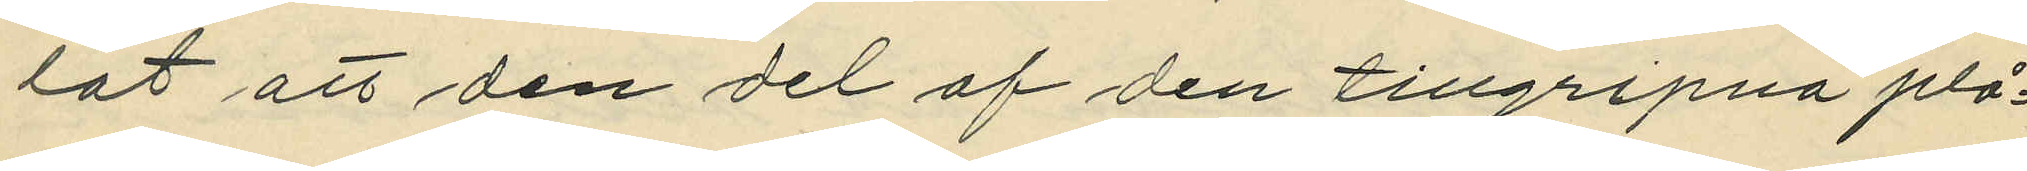lat att den af den tillgripna plå¬
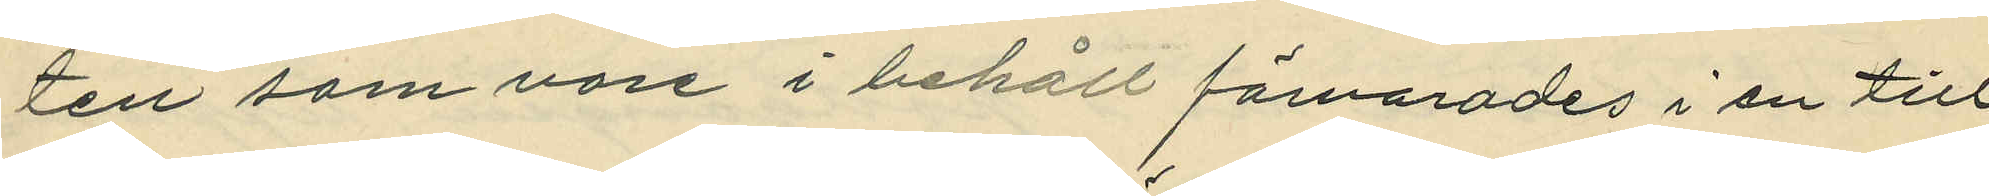ten som vore i behåll förvarades i en till
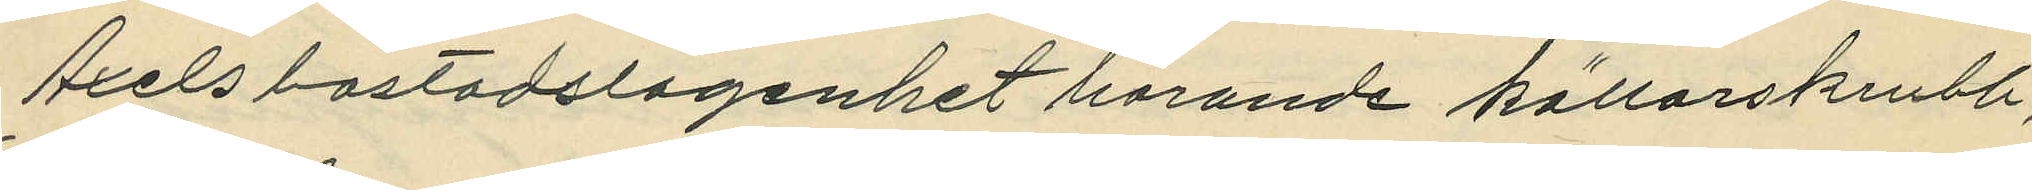Axels bostadslagenhet hörande källarskrubb;
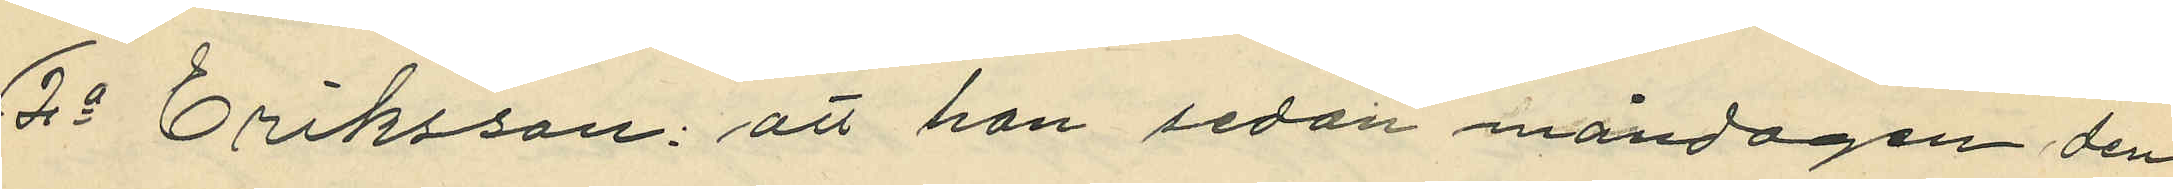2o Eriksson: att han sedan måndagen den
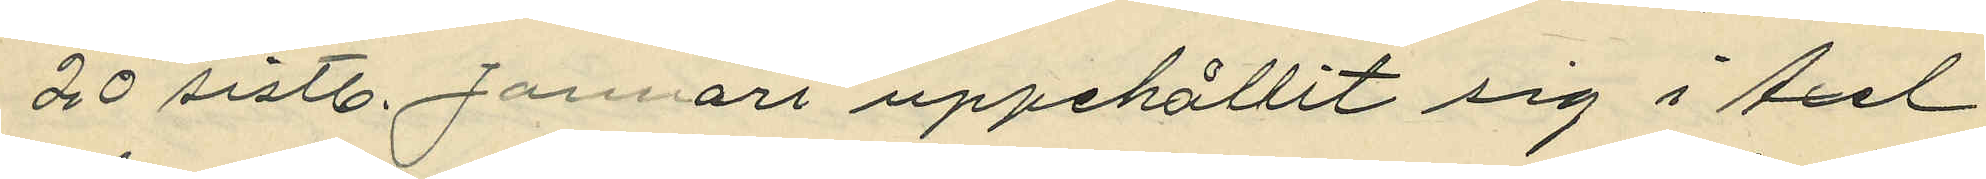20 sistl. Januari uppehållit sig i Axel
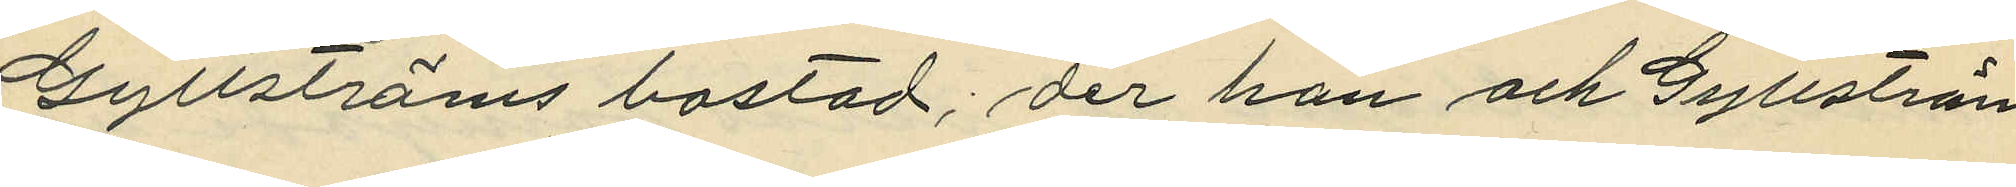Gyllströms bostad; der han och Gyllström
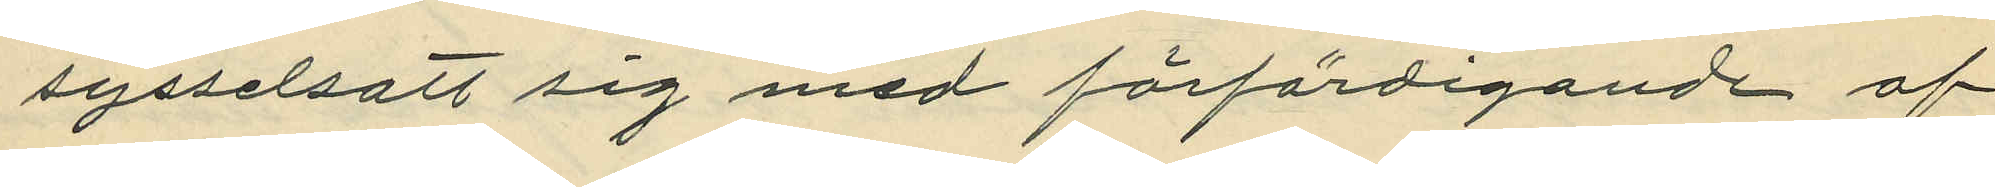sysselsatt sig med förfärdigande af
